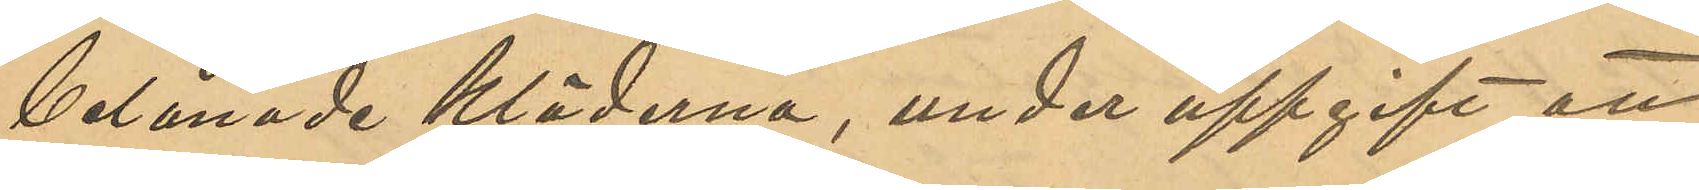belånade kläderna, under uppgift att
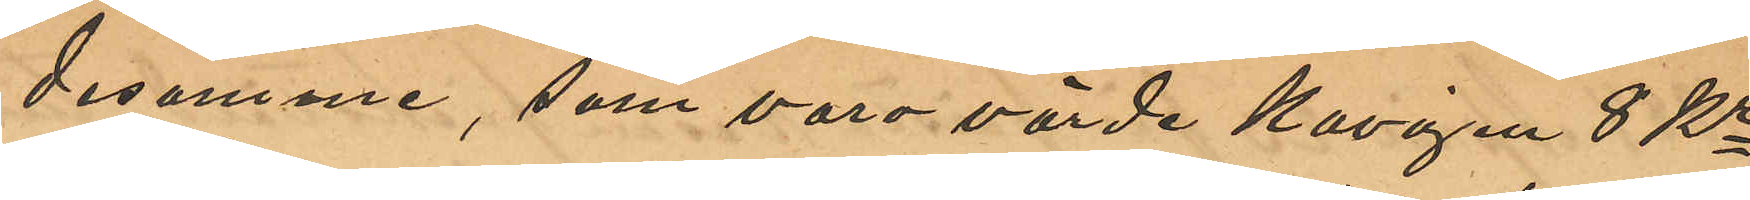desamme, som vore värde Kavajen 8 Kr
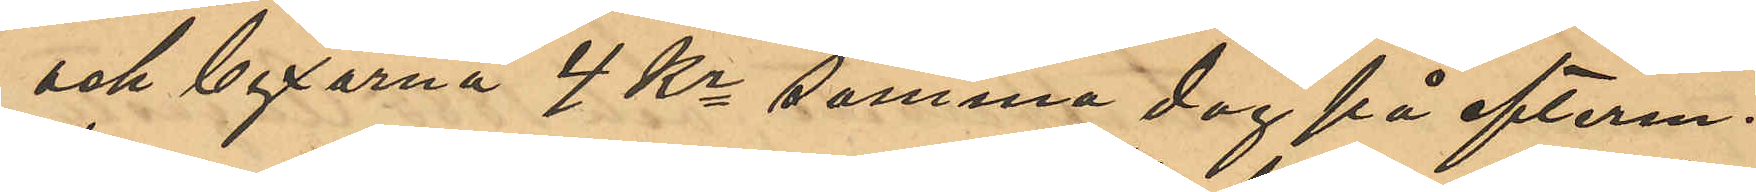och byxorna 4 Kr samma dag på efterm.
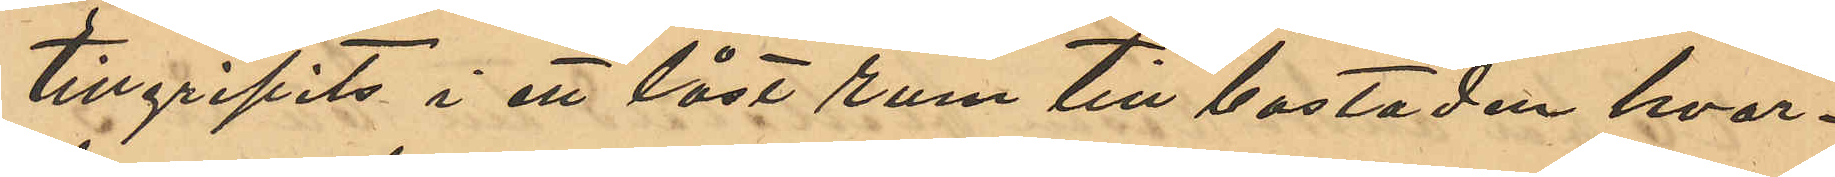tillgripits i ett låst rum till bostaden hvar¬
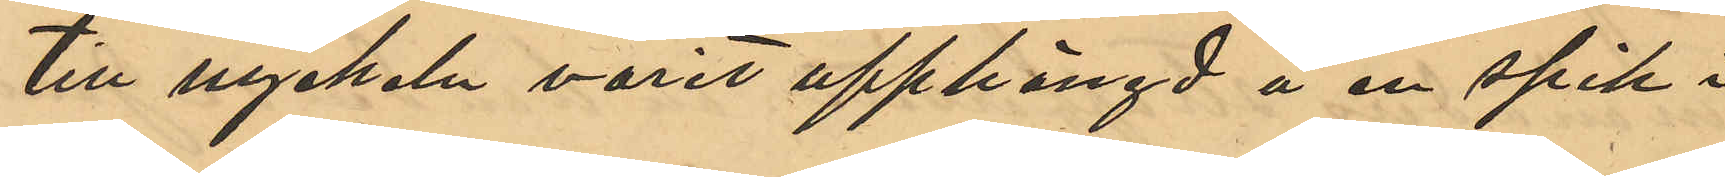till nyckeln varit upphängd å en spik i
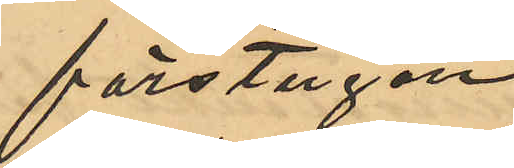förstugan.
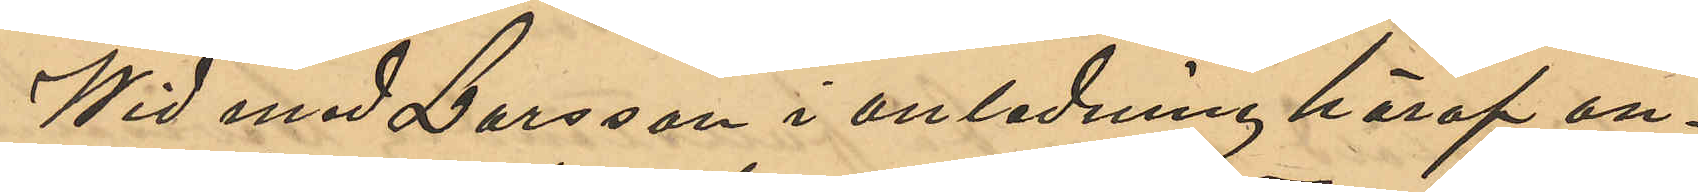Wid med Larsson i anledning häraf an¬
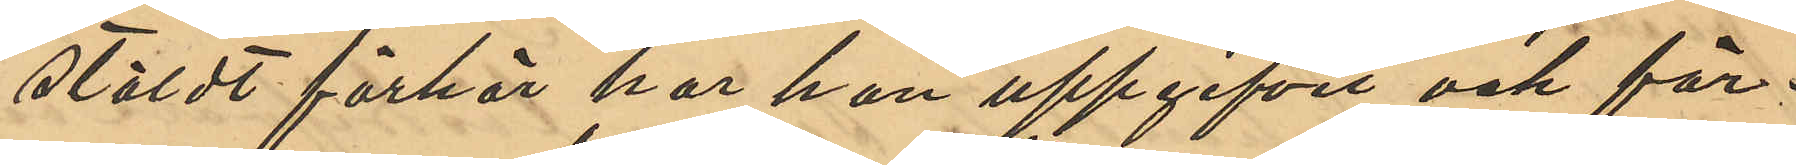stäldt förhör har han uppgifvit och för¬
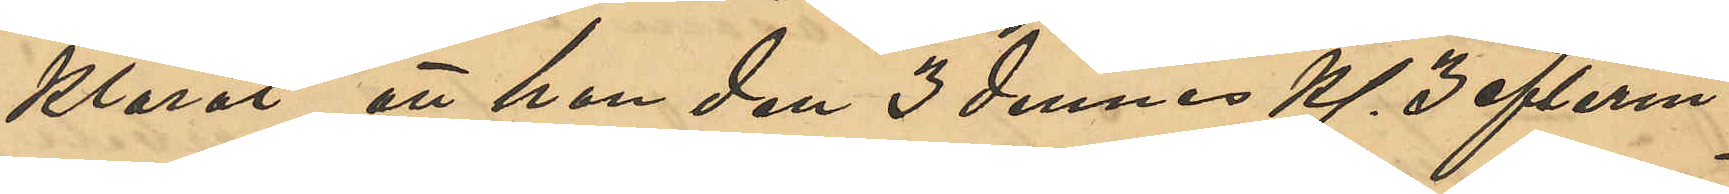klarat, att han den 3 dennes Kl 3 efterm.
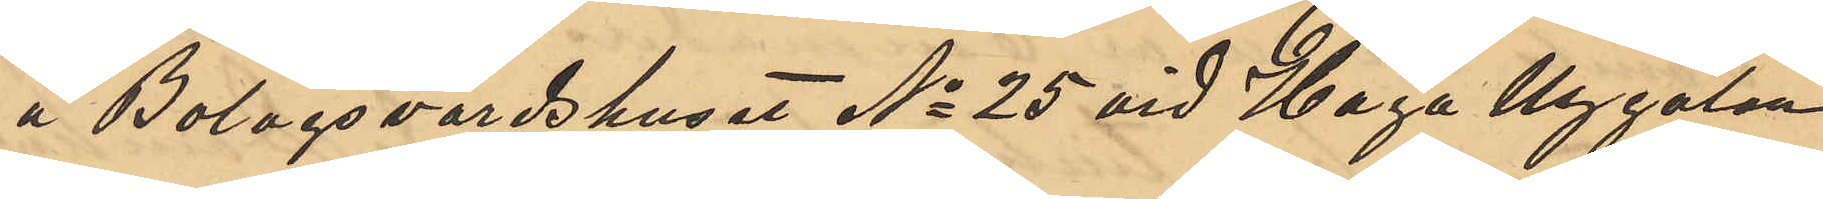å Bolagsvärdshuset No 25 vid Haga Nygatan
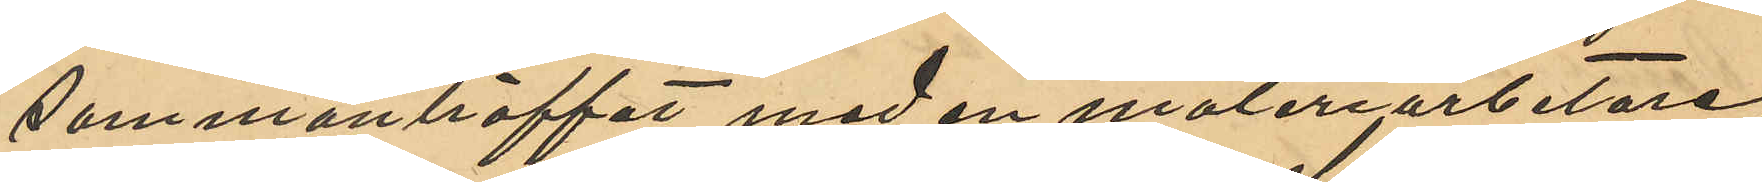sammanträffat med en måleriarbetare,
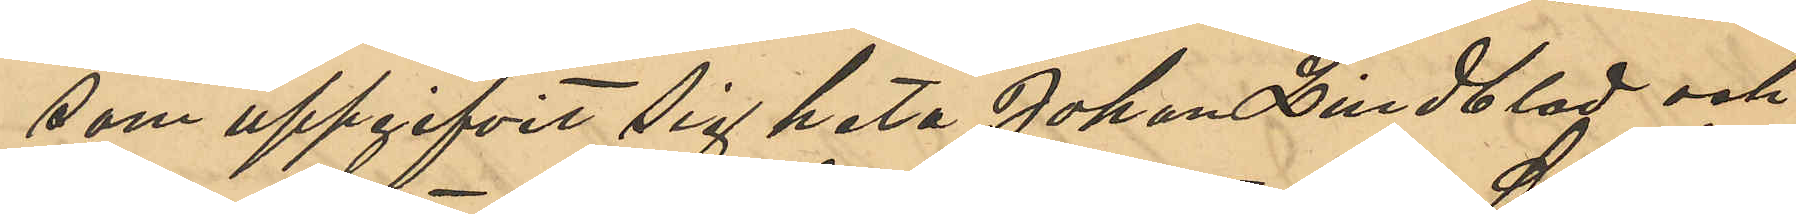som uppgifvit sig heta Johan Lindblad och
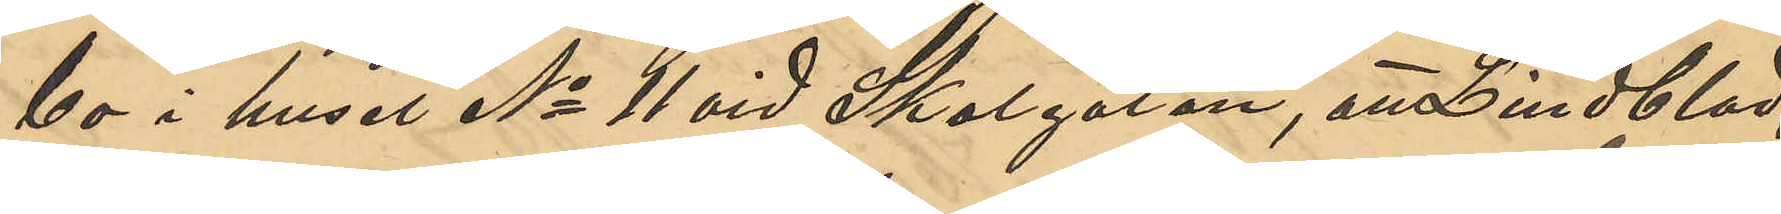bo i huset No 11 vid Skolgatan, att Lindblad,
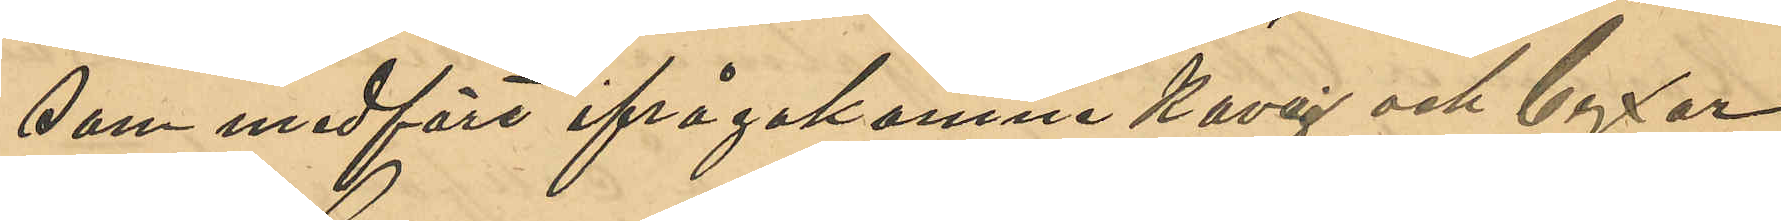som medfört ifrågakomne kavaj och byxor
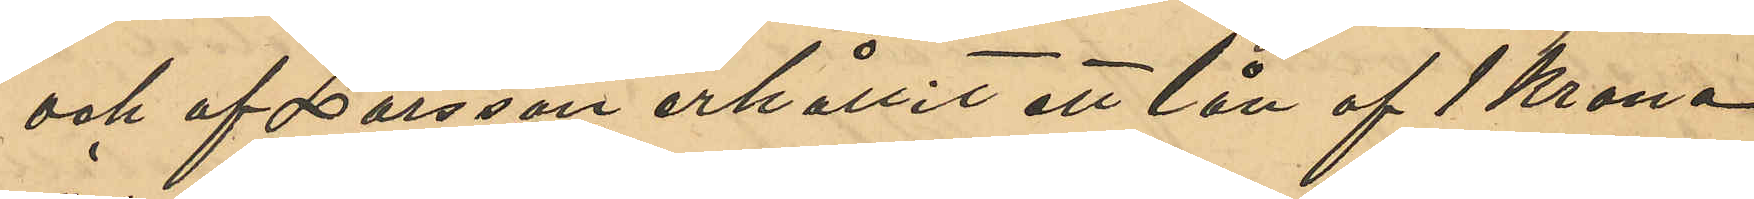och af Larsson erhållit ett lån af 1 Krona
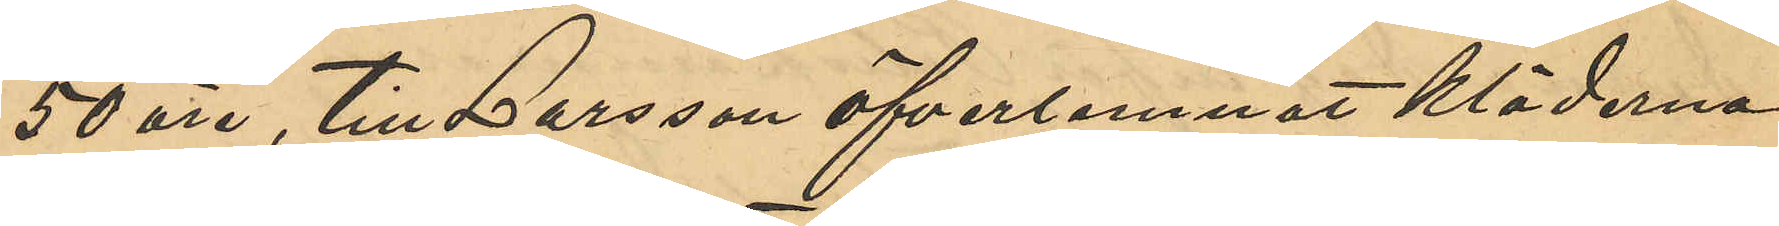50 öre, till Larsson öfverlemnat kläderna
